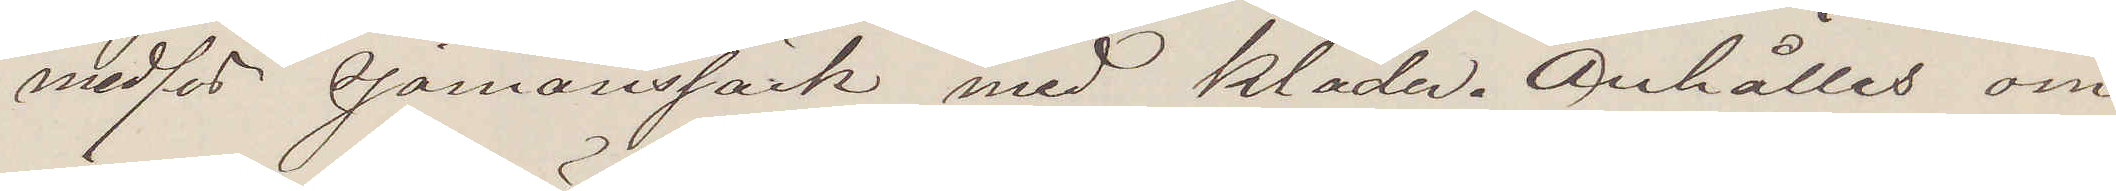medför sjömanssäck med kläder. Anhålles om
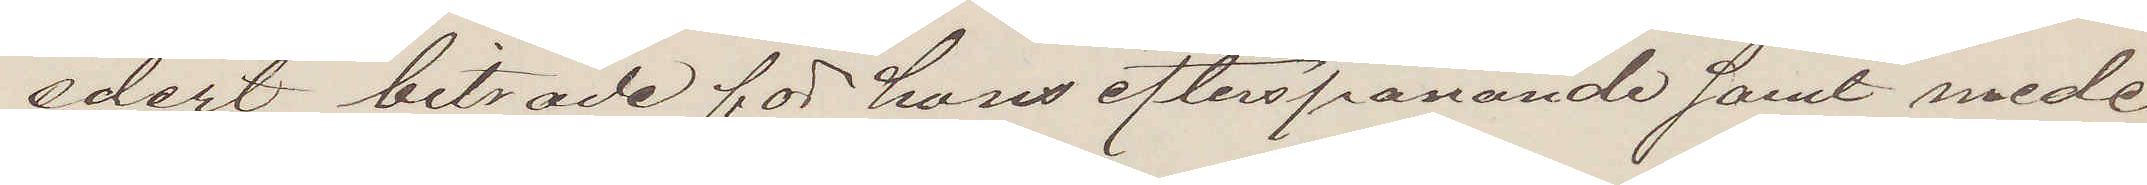edert biträde för hans efterspanande samt mede¬
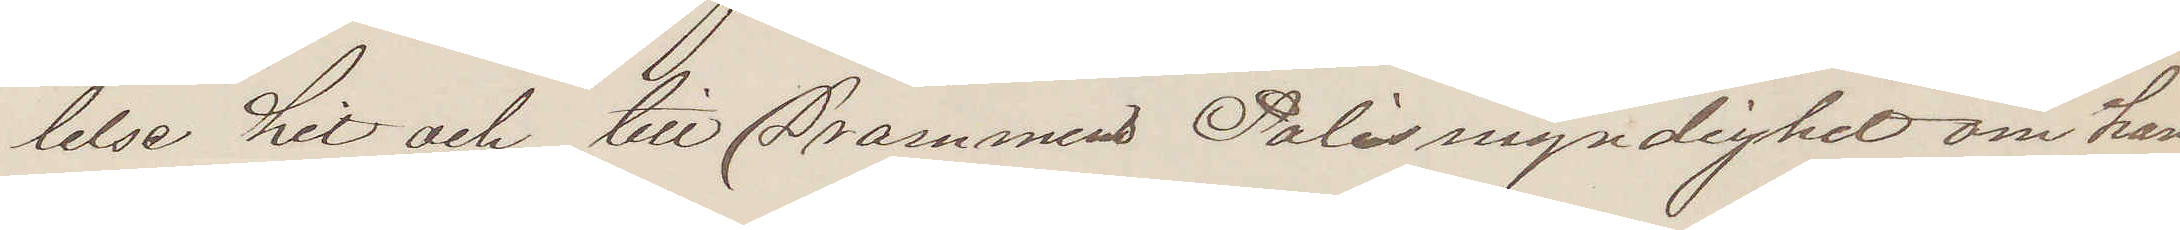lelse hit och till Drammens Polismyndighet om han
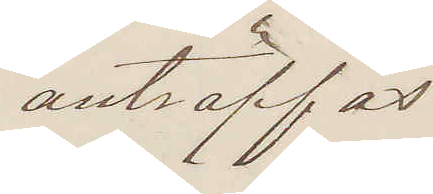anträffas
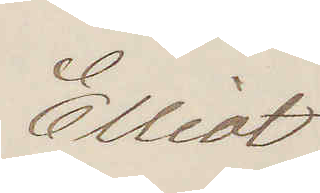Elliot
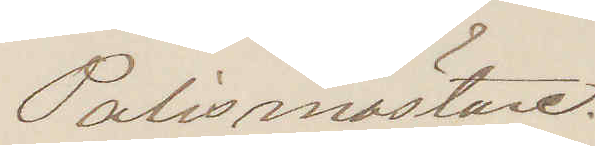Polismästare.
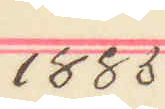1885
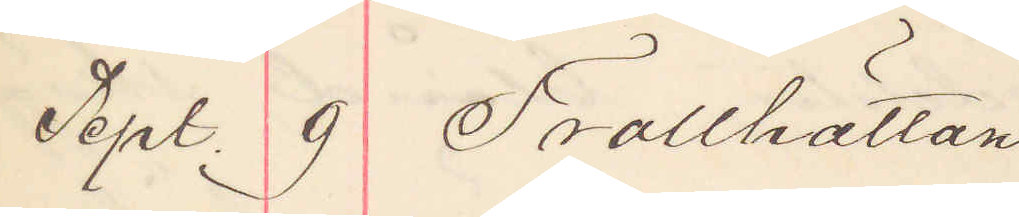Sept. 9 Trollhättan
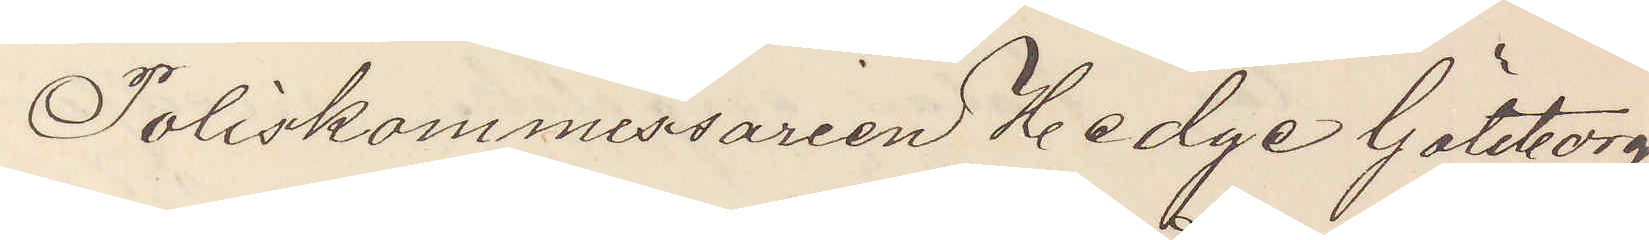Poliskommissarien Hedge Göteborg.
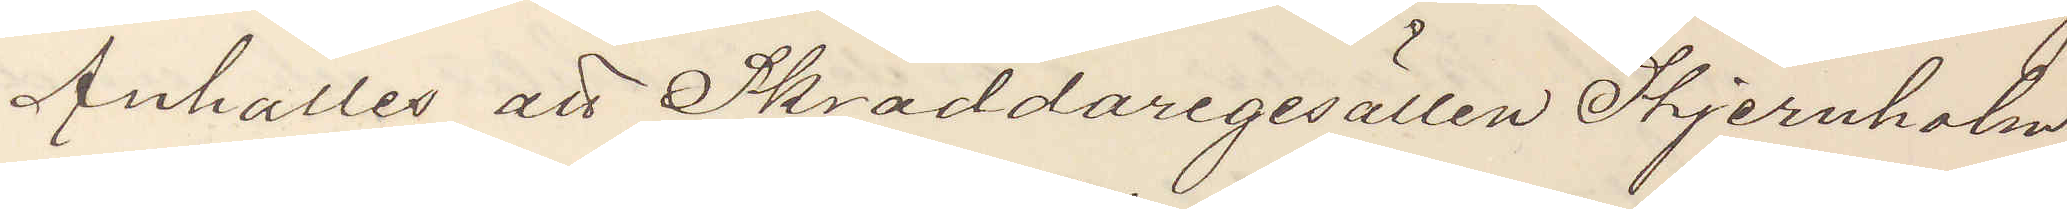Anhålles att Skräddaregesällen Hjernholm
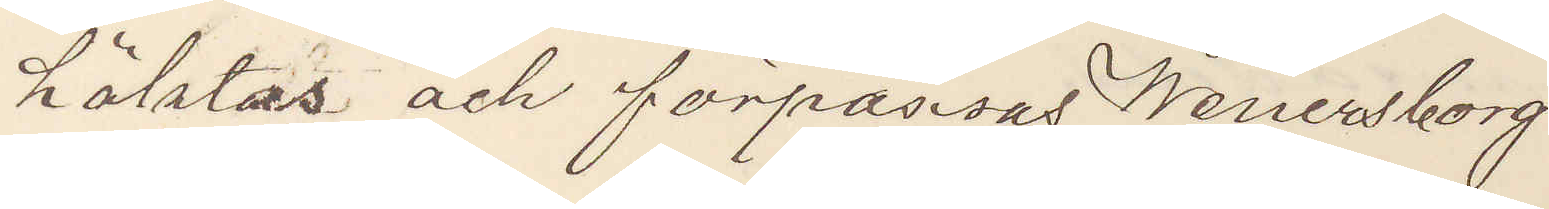häktas och förpassas Wenersborg.
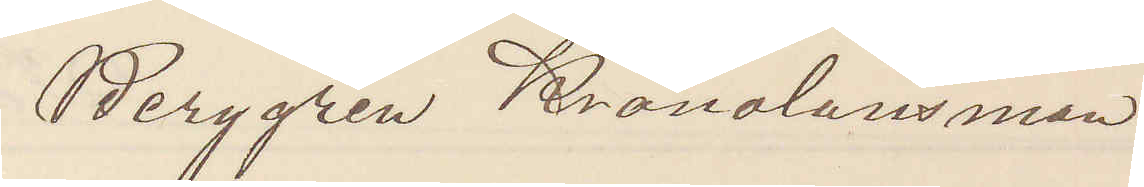Berggren Kronolänsman
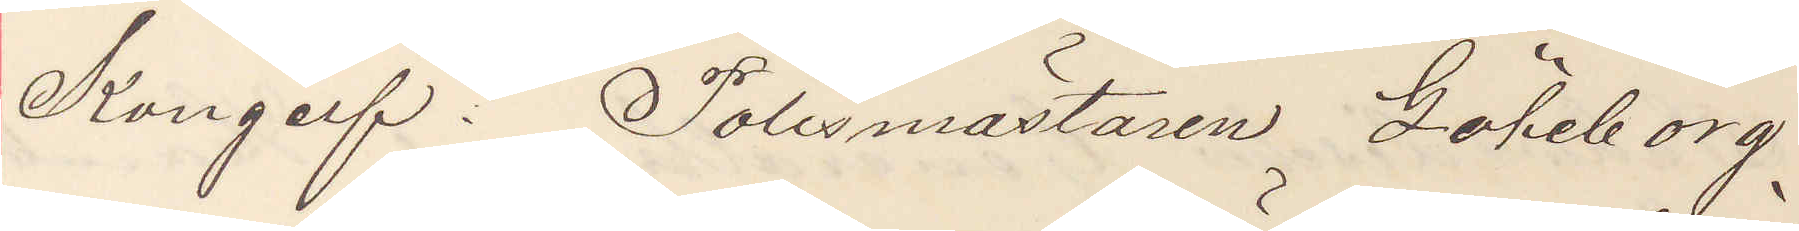Kongelf. Polismästaren Göteborg.
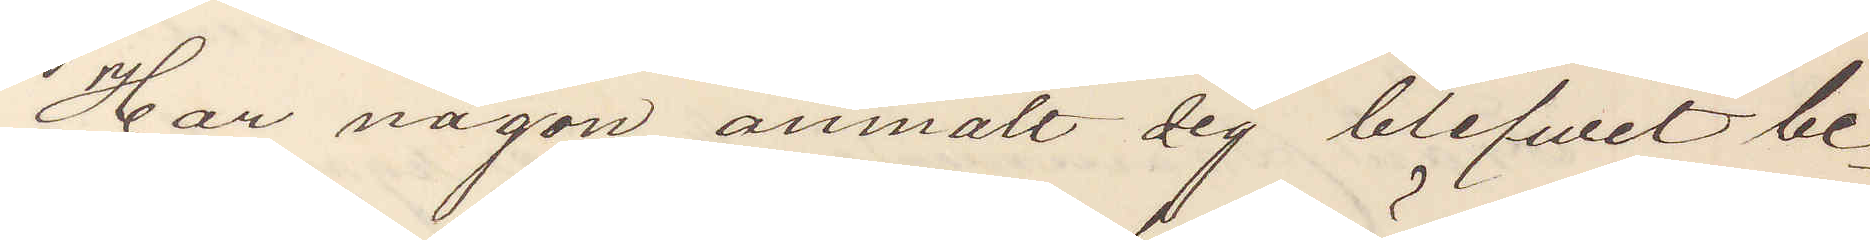Har någon anmält sig blifvit be¬
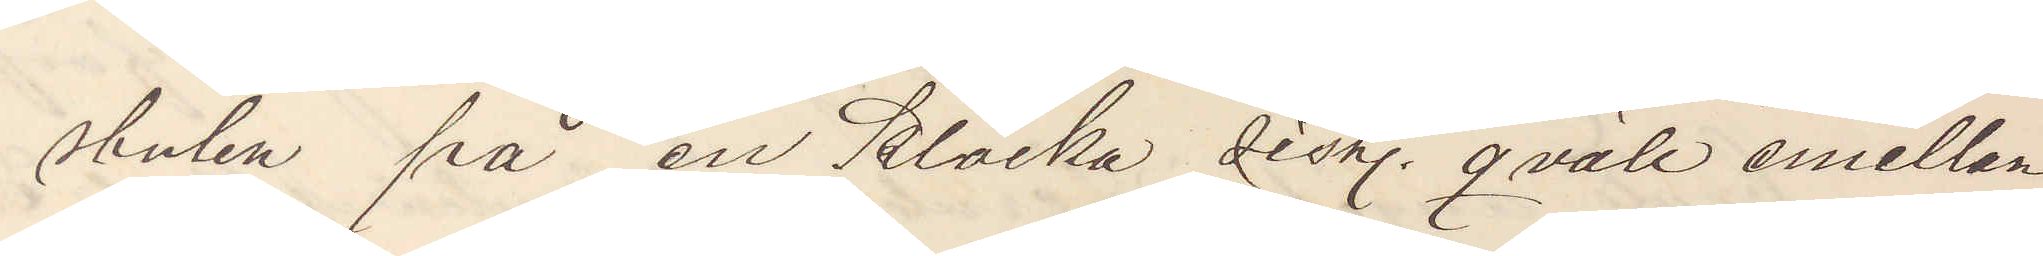stulen på en klocka sist. qväll emellan
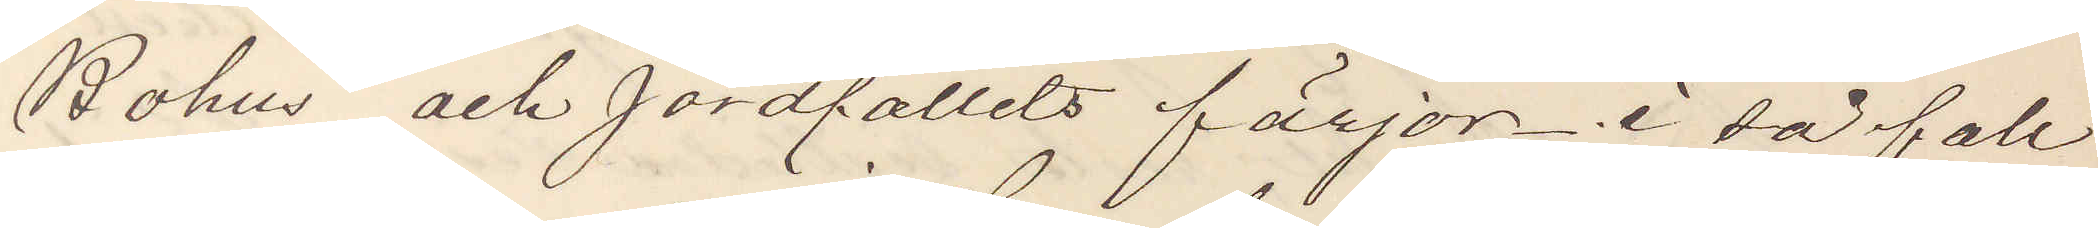Bohus och Jordfallets färjor. i så fall
